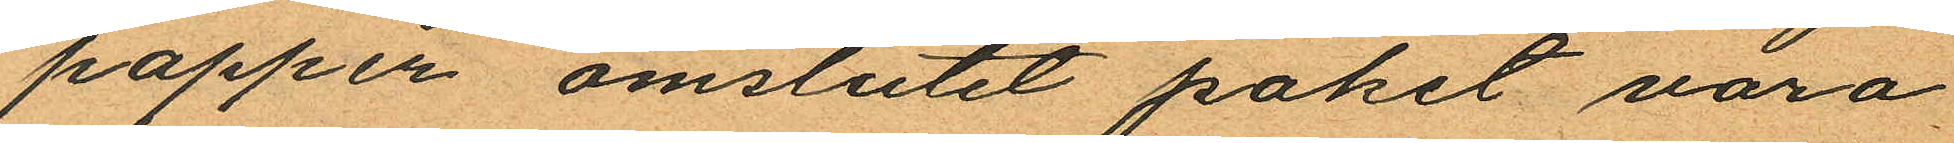papper omslutet paket vara
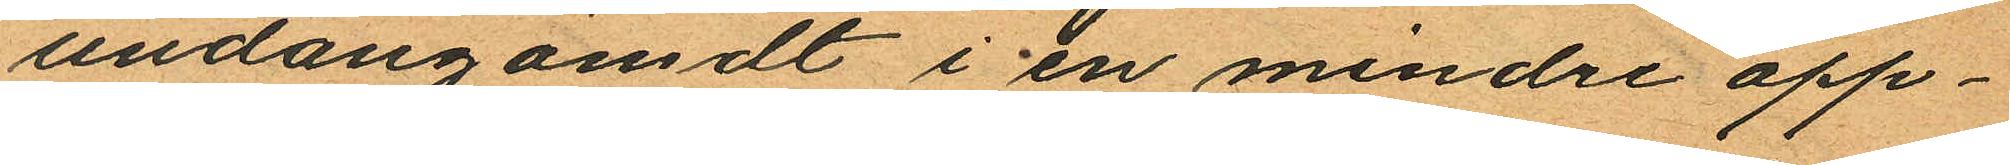undangömdt i en mindre öpp¬
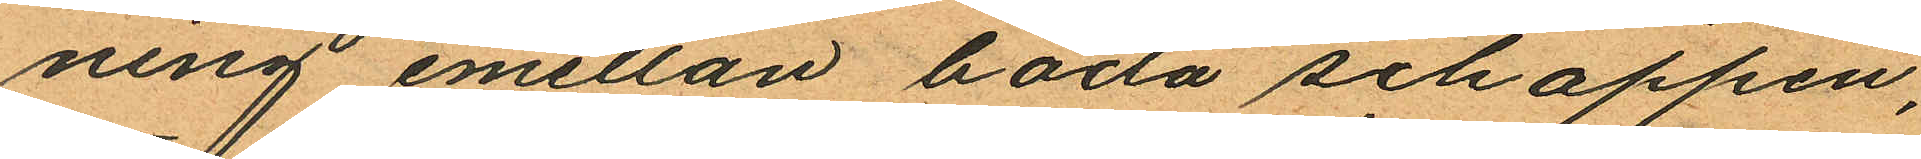ning emellan båda schappen,
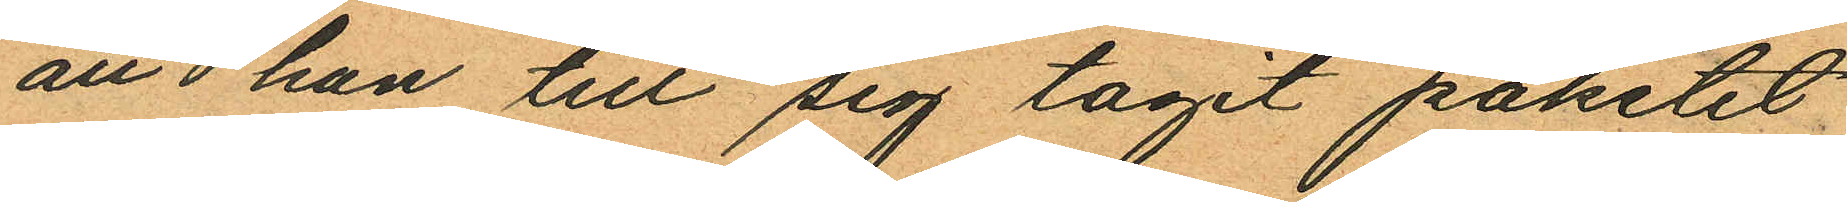att i han till sig tagit paketet
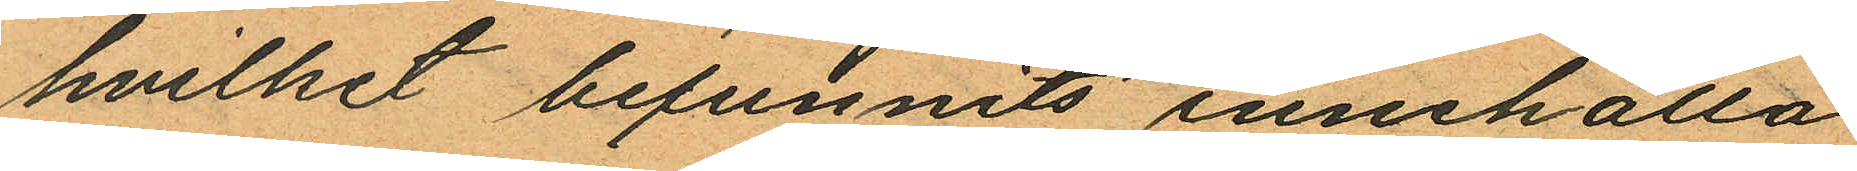hvilket befunnits innehålla
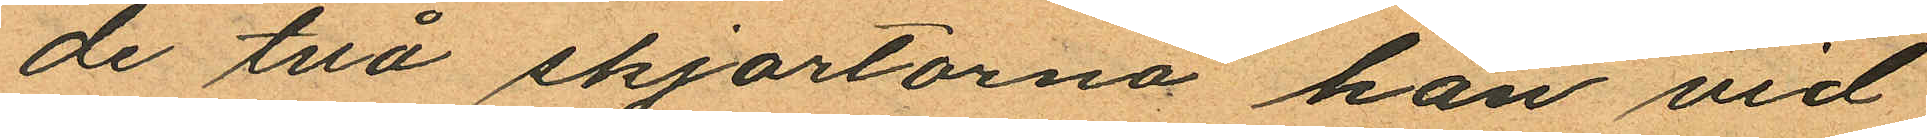de två skjortorna han vid
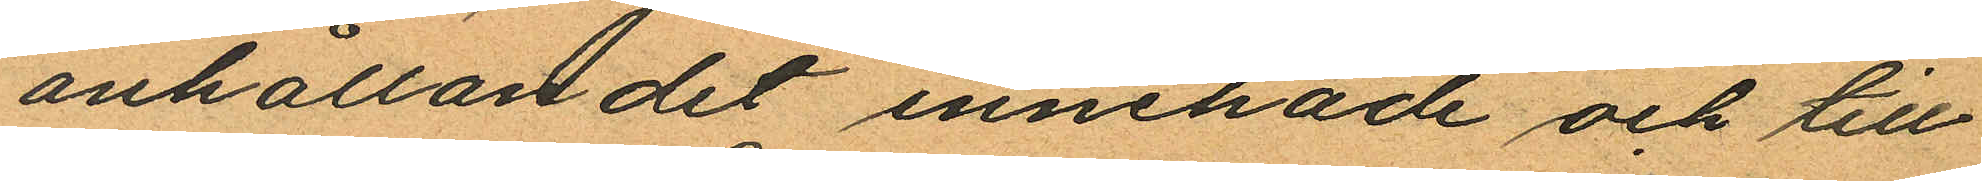anhållandet innehade och till
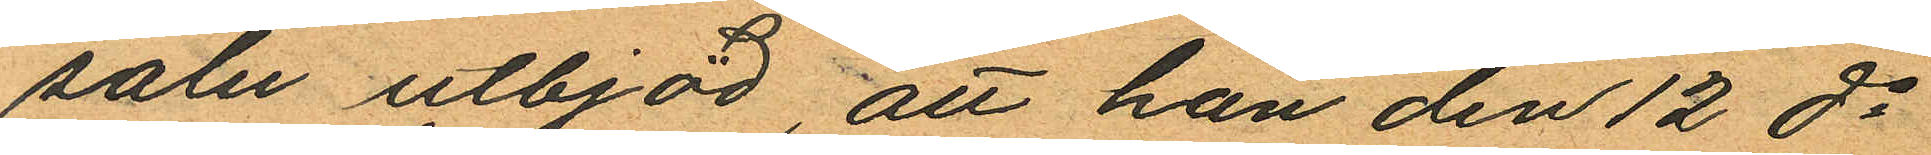salu utbjöd, att han den 12 ds
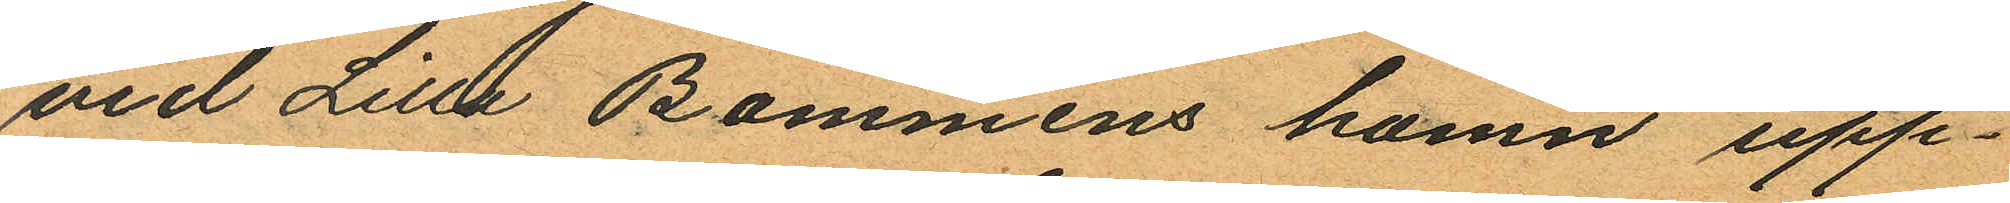vid Lilla Bommens hamn upp¬
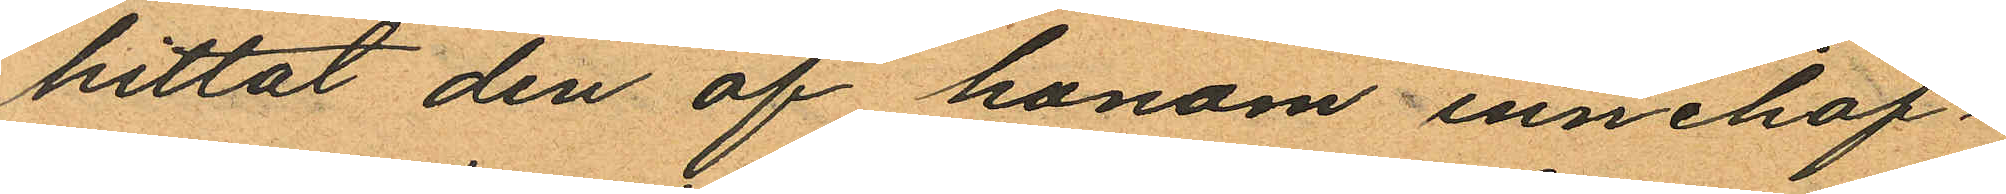hittat den af honom innehaf¬
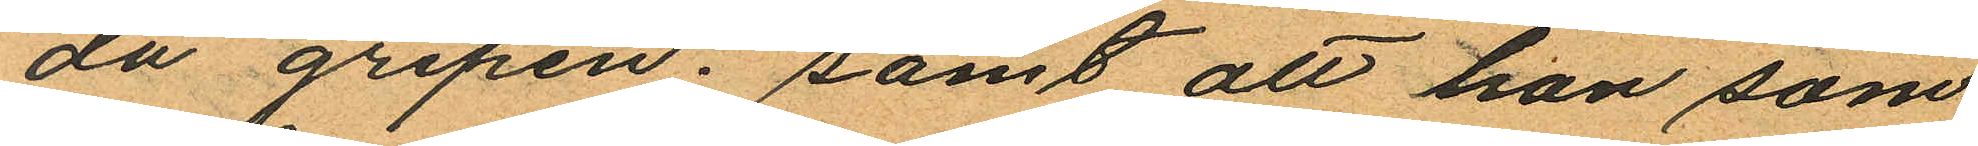då gripen; samt att han som
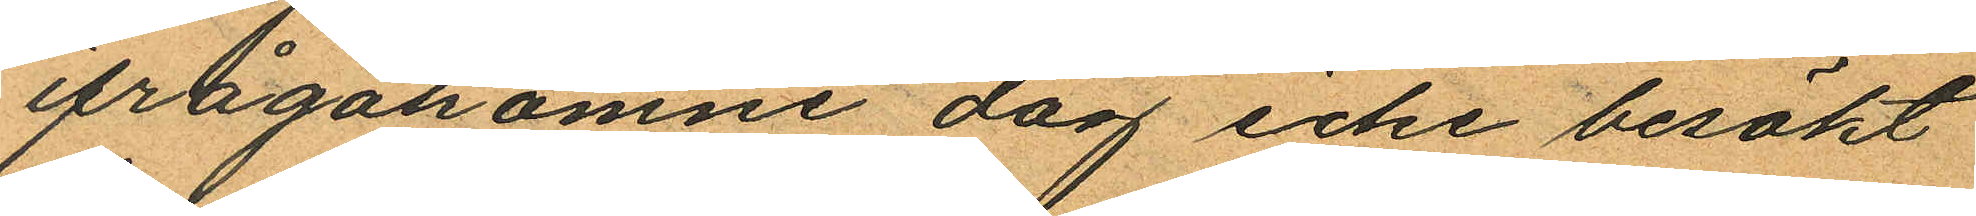ifrågakomne dag icke besökt
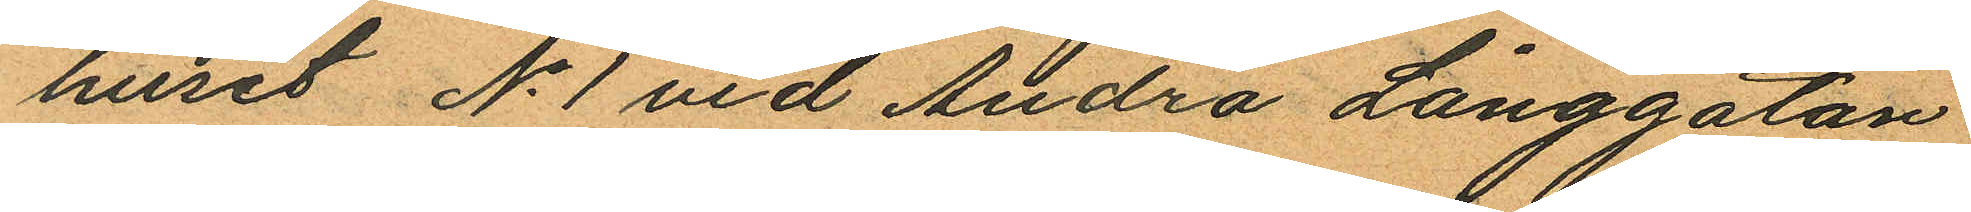huset No 1 vid Andra Långgatan
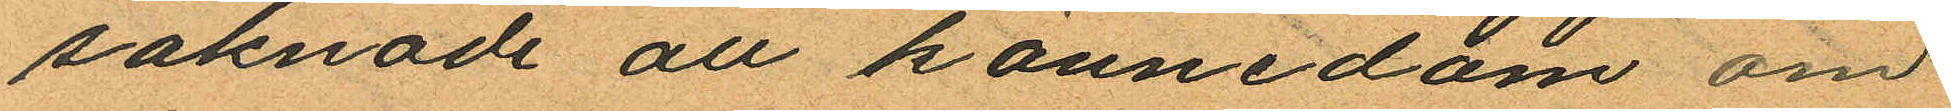saknade all kännedom om
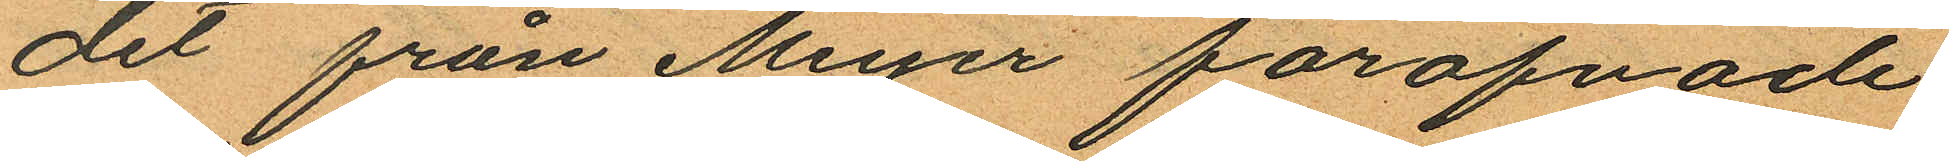det från Meyer föröfvade
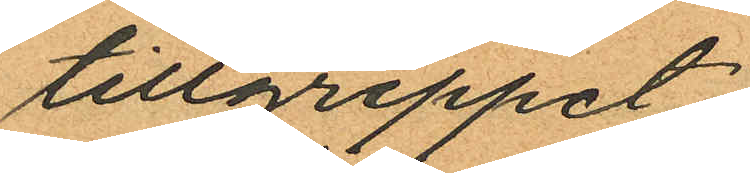tillgreppet.
